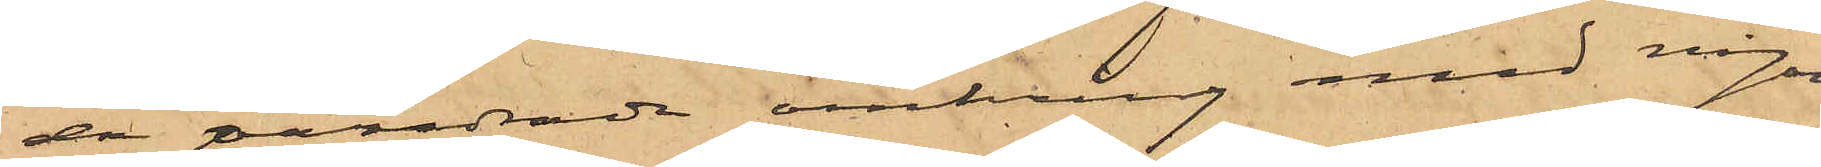då vanndrade omkring med någon
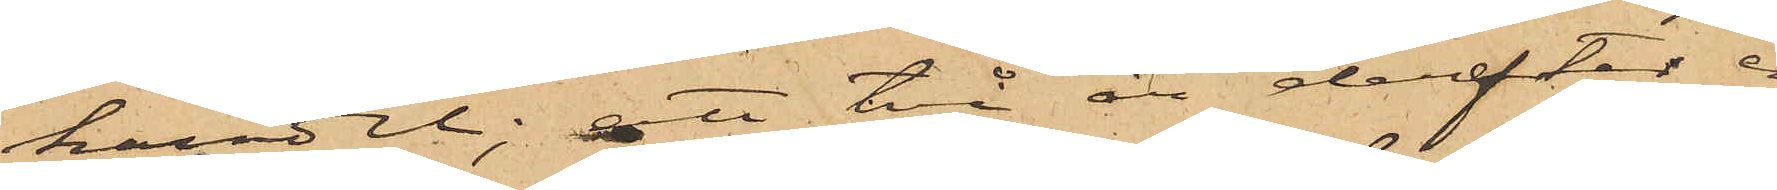handel; att två år derefter en
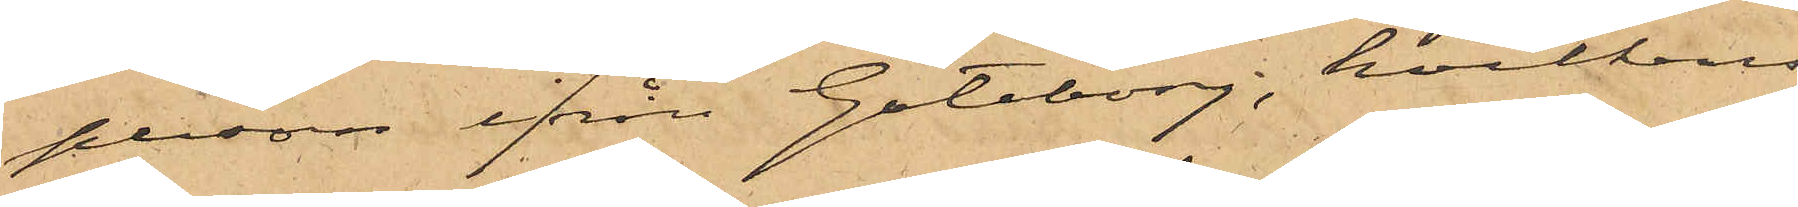person ifrån Göteborg; hvilkens
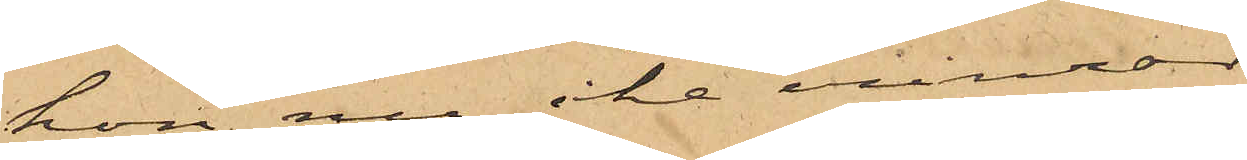hon nu icke erinrar
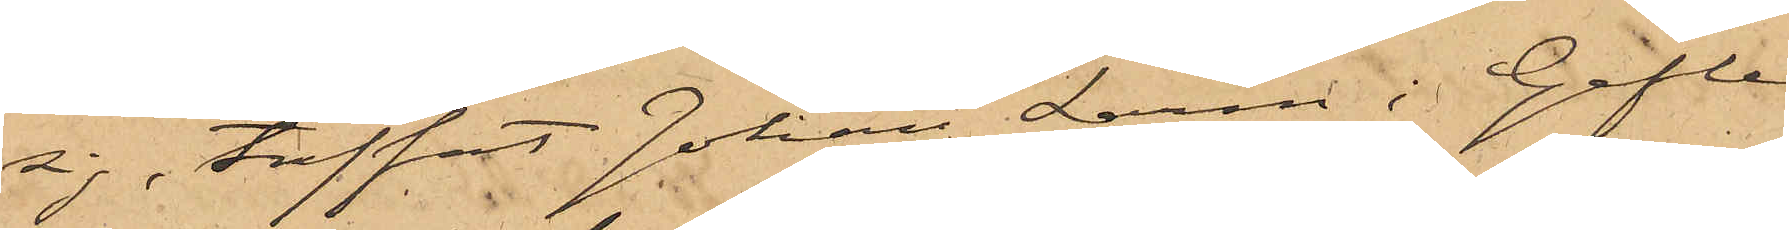sig, träffat Johan Larm i Gefle
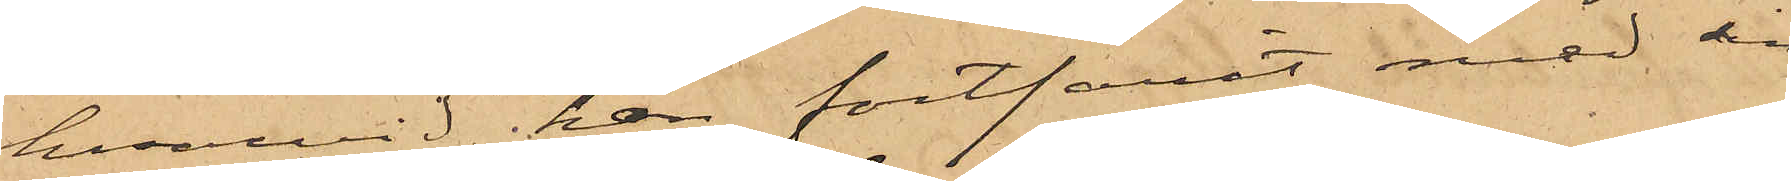hvarvid han fortfarit med sin
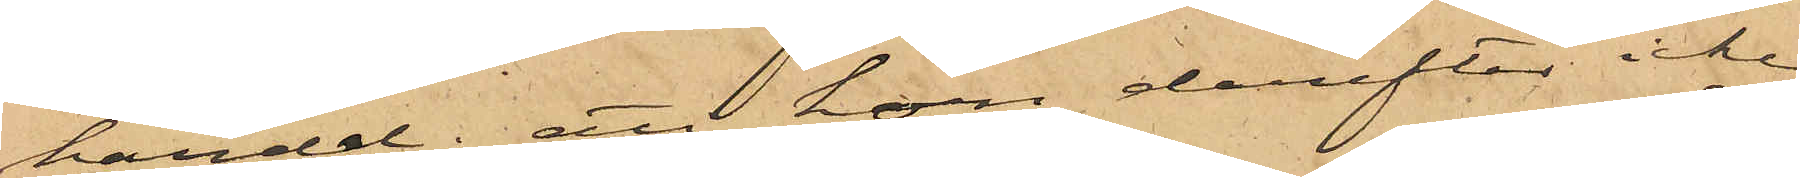handel; att hon derefter icke
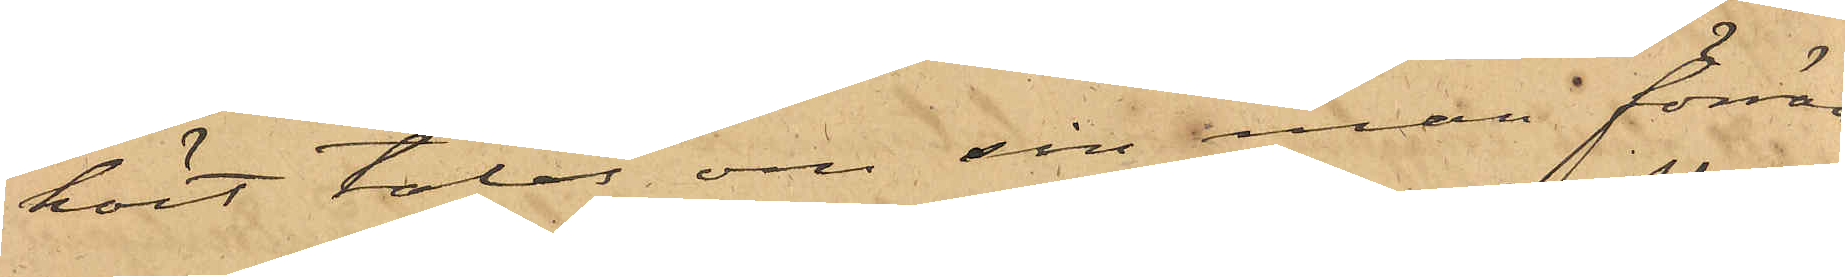hört talas om sin man förrän
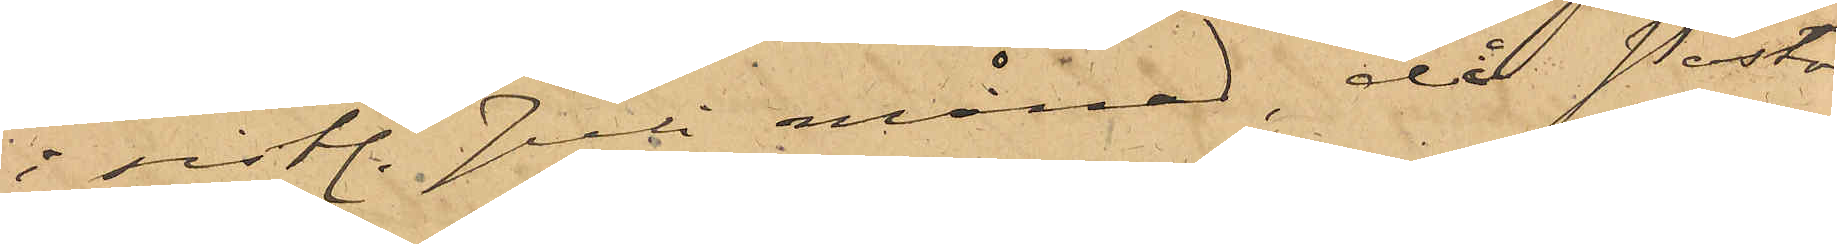i sistl. Juli månad, då Pastor
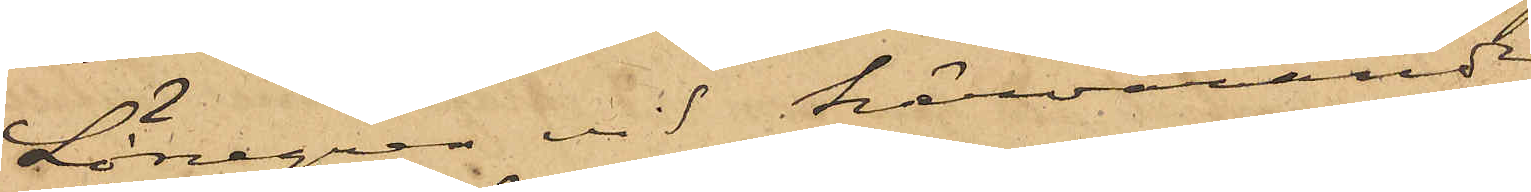Lönegren vid härvarande
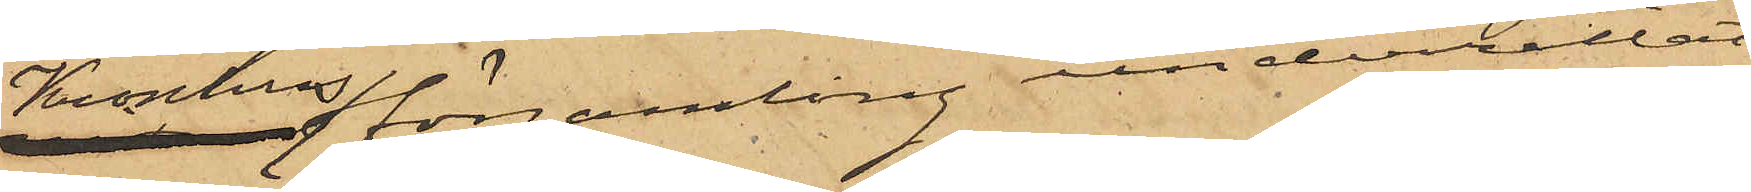Kronhusförsamling underrättat
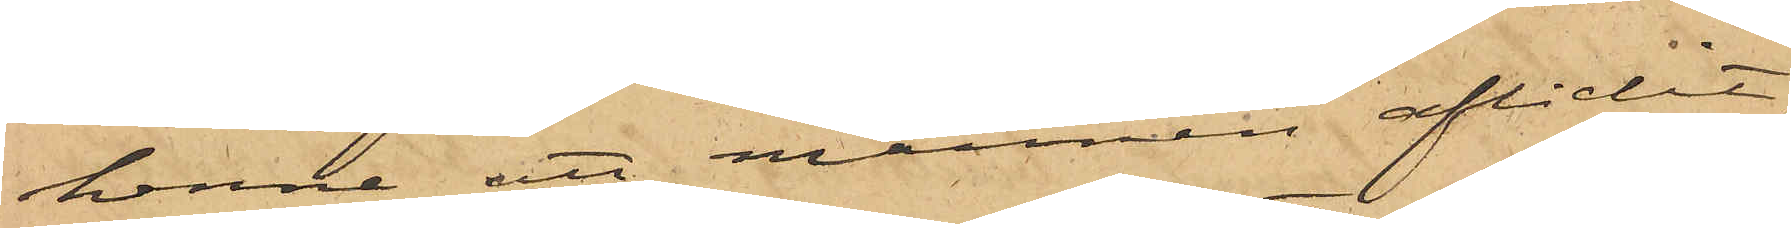henne att mannen aflidit;
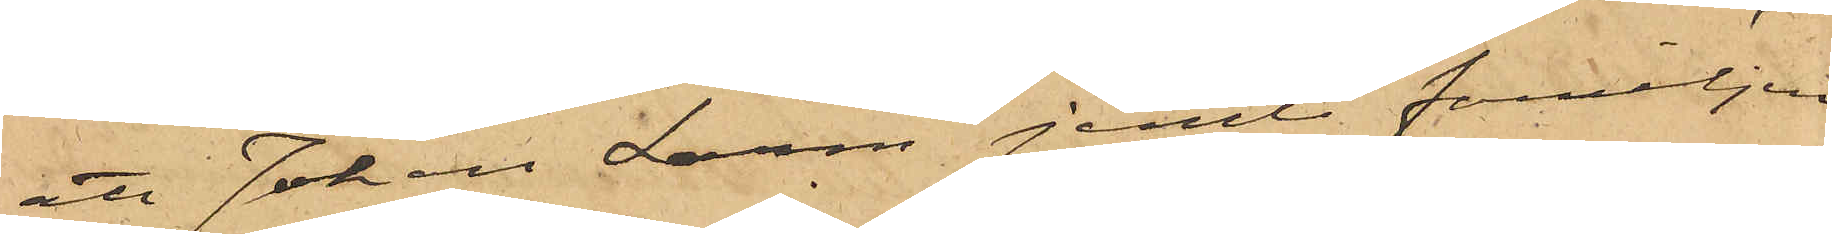att Johan Larm jemte familjen
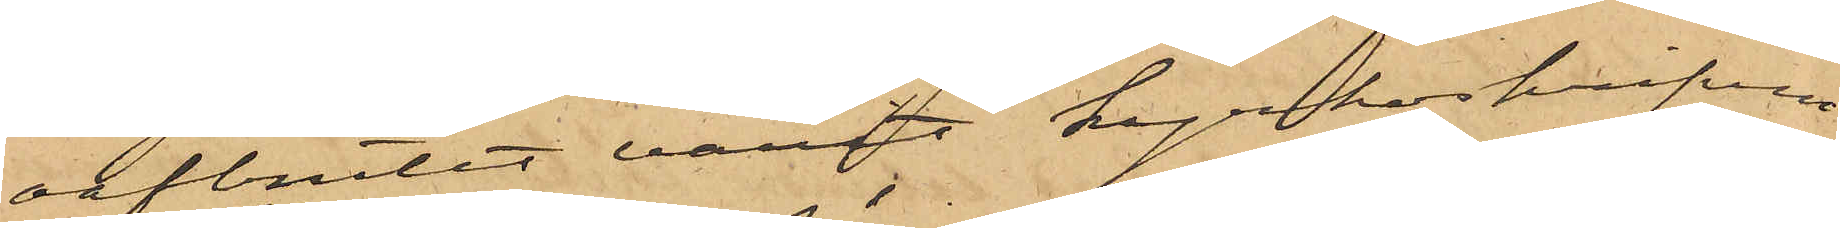oafbrutet varit kyrkoskrifvne
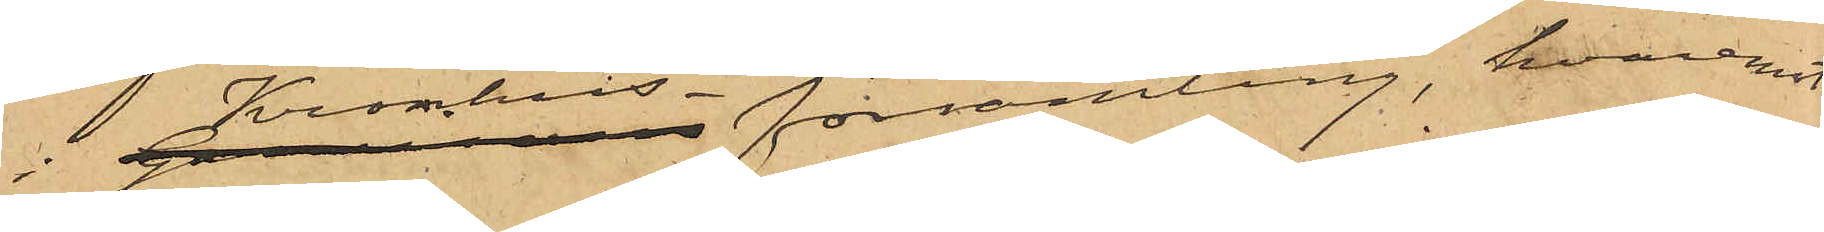i Kronhus-församling, hvaremot
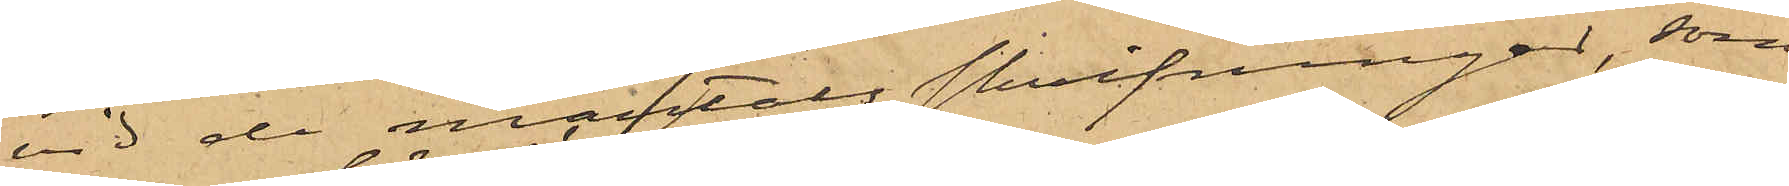vid de mantals skrifningar, som
